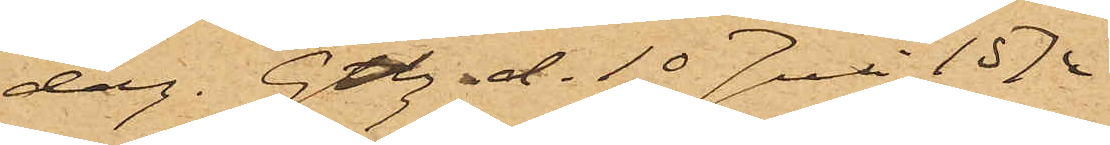dag. Gbg d. 10 Juli 1874.
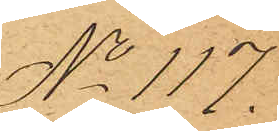No 117.
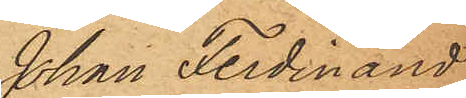Johan Ferdinand
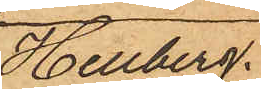Hellberg.
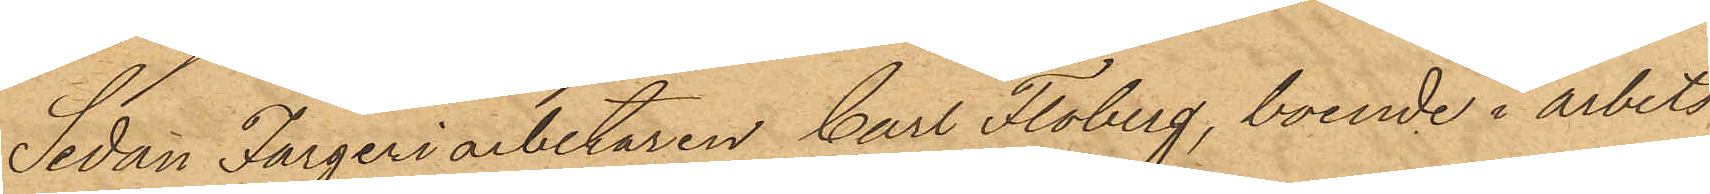Sedan Färgeriarbetaren Carl Floberg, boende i arbets¬
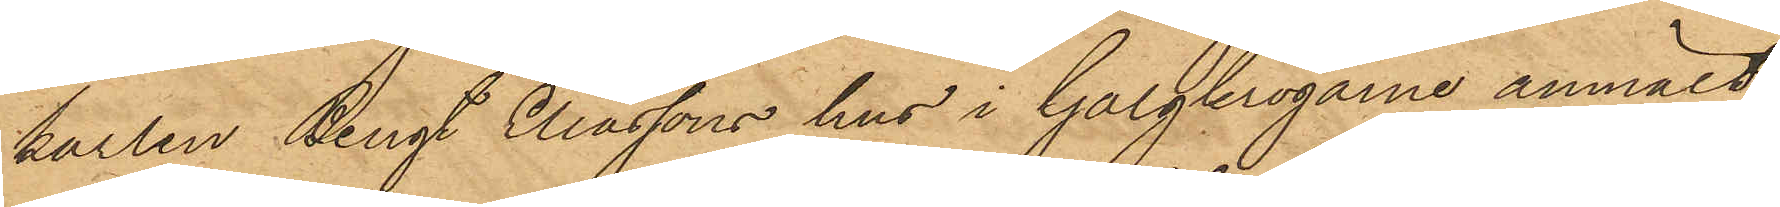karlen Bengt Eliassons hus i Galgkrogarne anmält,
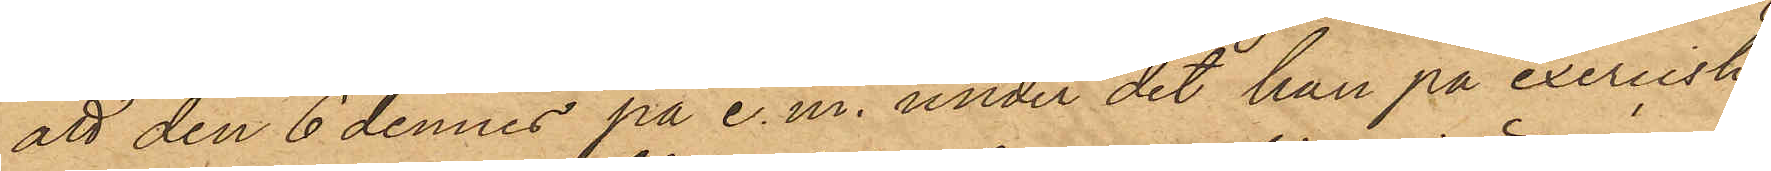att den 6 dennes på e.m. under det han på exercishe¬
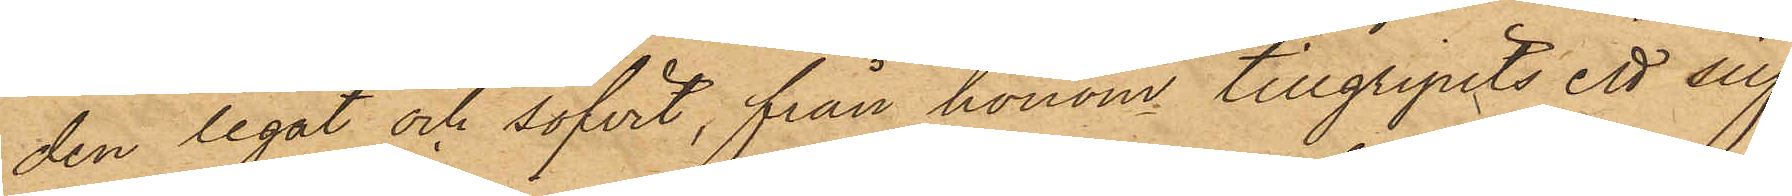den legat och sofvit, från honom tillgripits ett silf¬
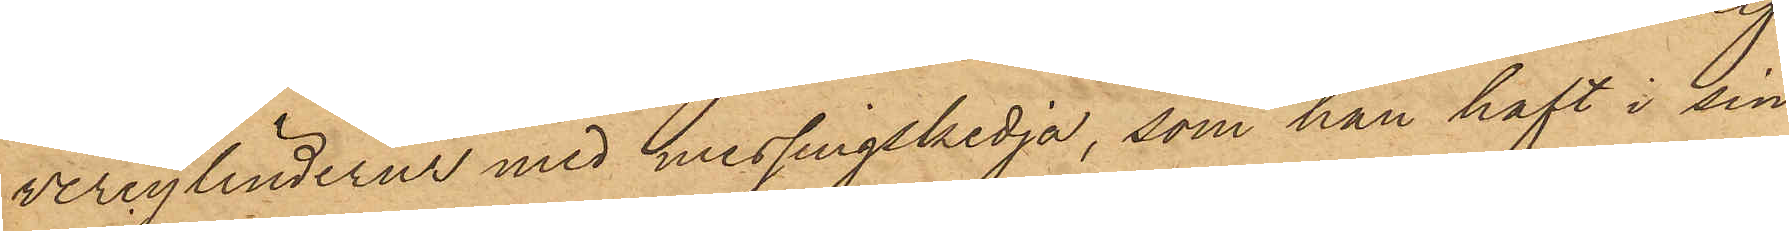vercylinderur med messingskedja, som han haft i sin
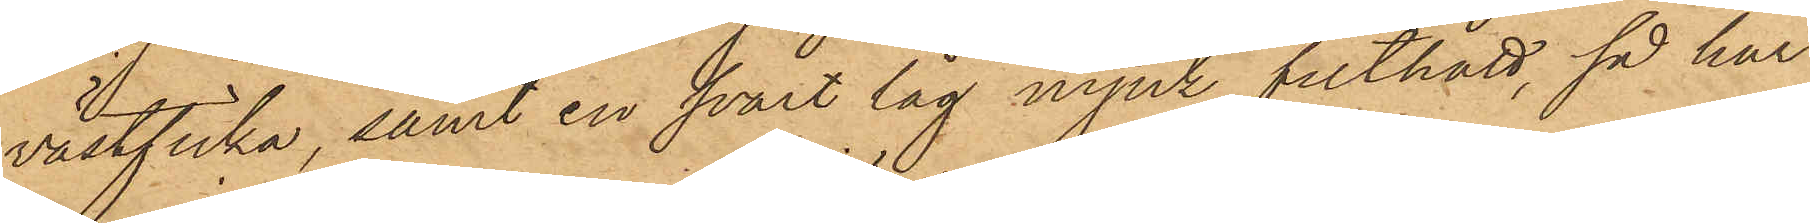västficka, samt en svart låg mjuk filthatt, så har
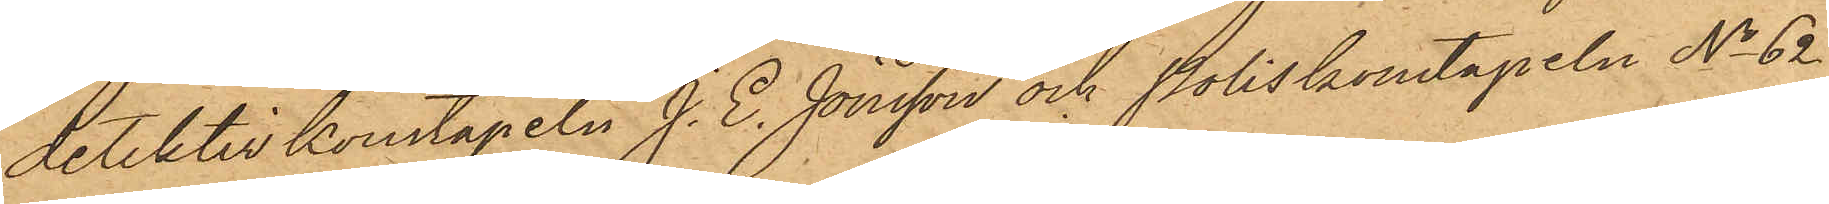detektivkonstapeln J. E. Jönsson och Poliskonstapeln No 62
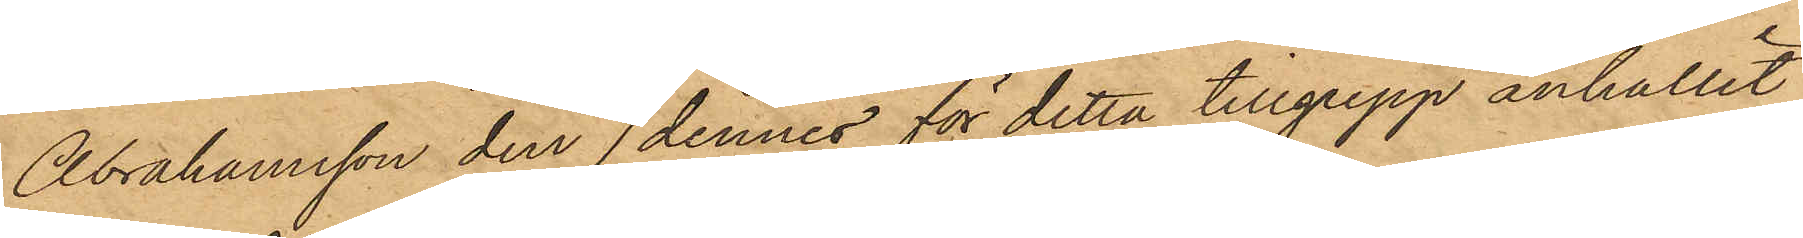Abrahamsson den 7 dennes för detta tillgrepp anhållit
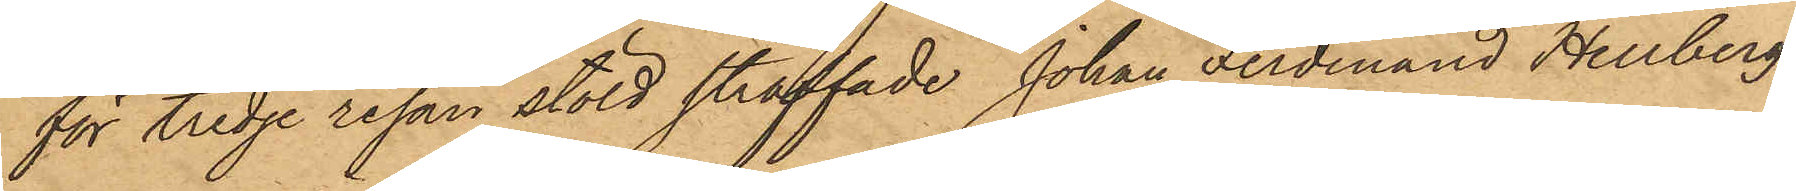för tredje resan stöld straffade Johan Ferdinand Hellberg,
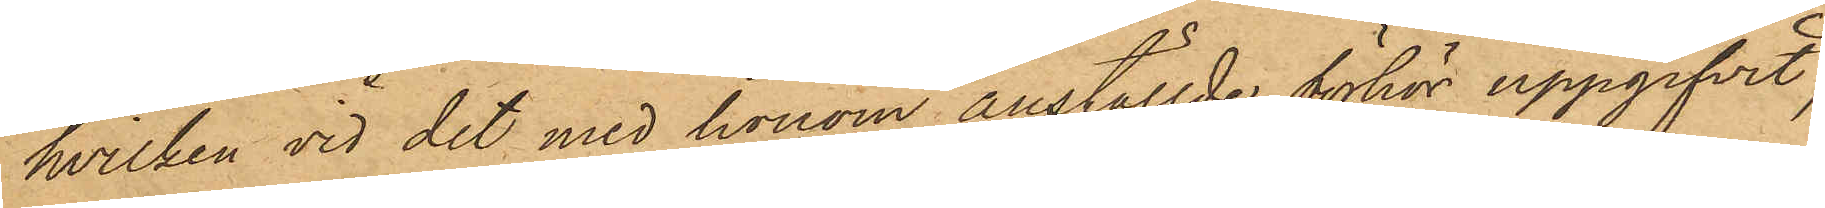hvilken vid det med honom anställde förhör uppgifvit,
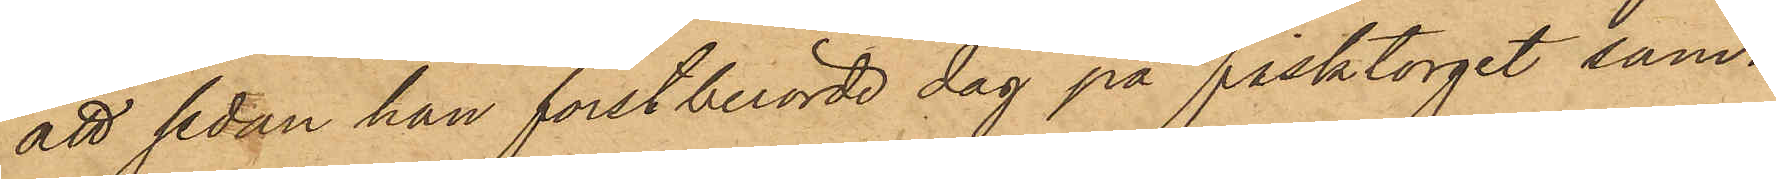att sedan han förstberörde dag på fisktorget sam¬
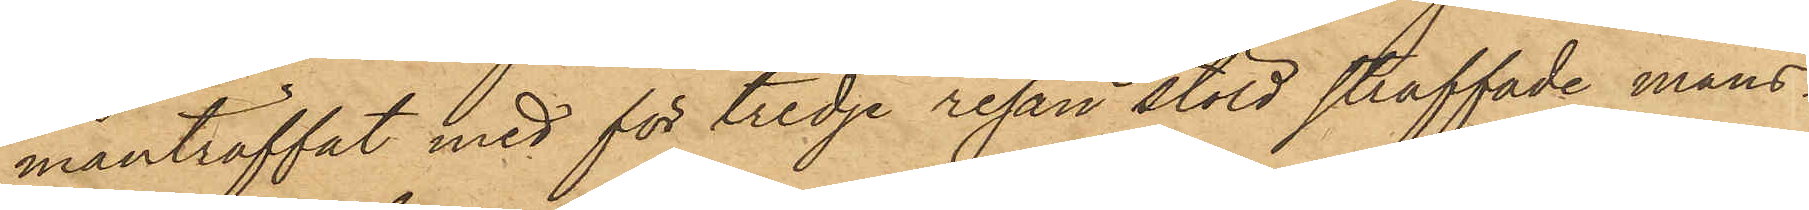manträffat med för tredje resan stöld straffade mans¬
